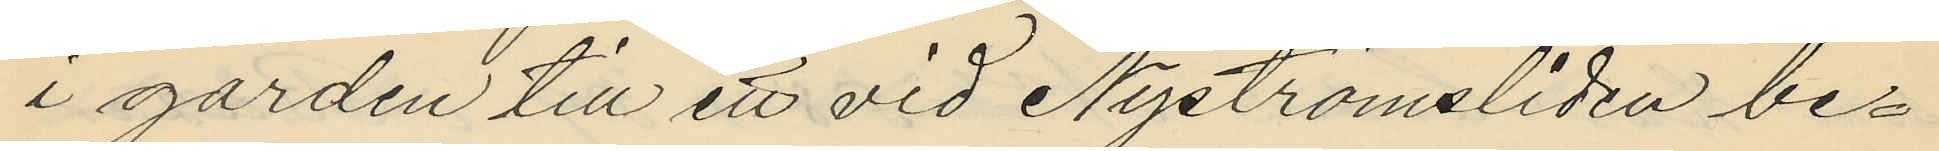i gården till ett vid Nyströmsliden be¬
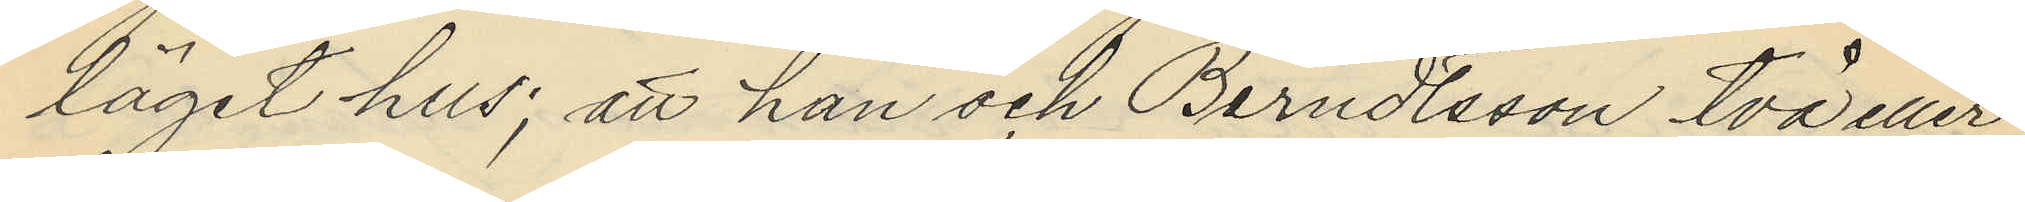läget hus; att han och Berndtsson två eller
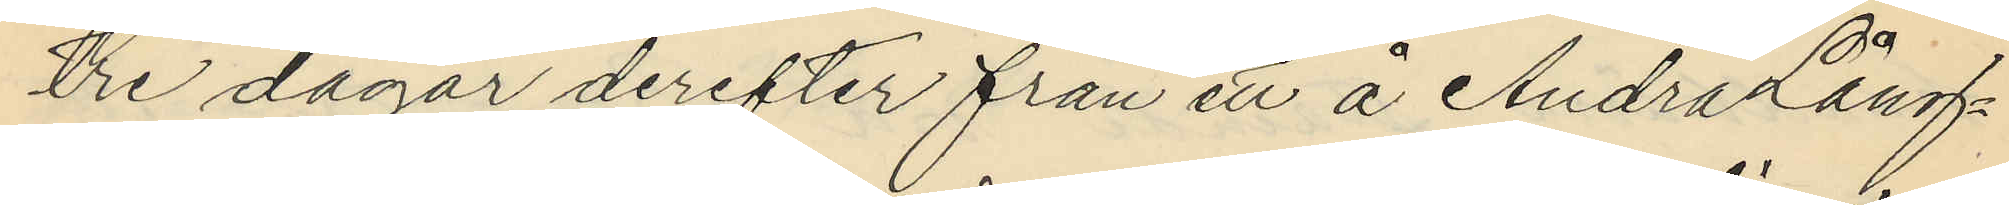tre dagar derefter från ett å Andra Lång¬
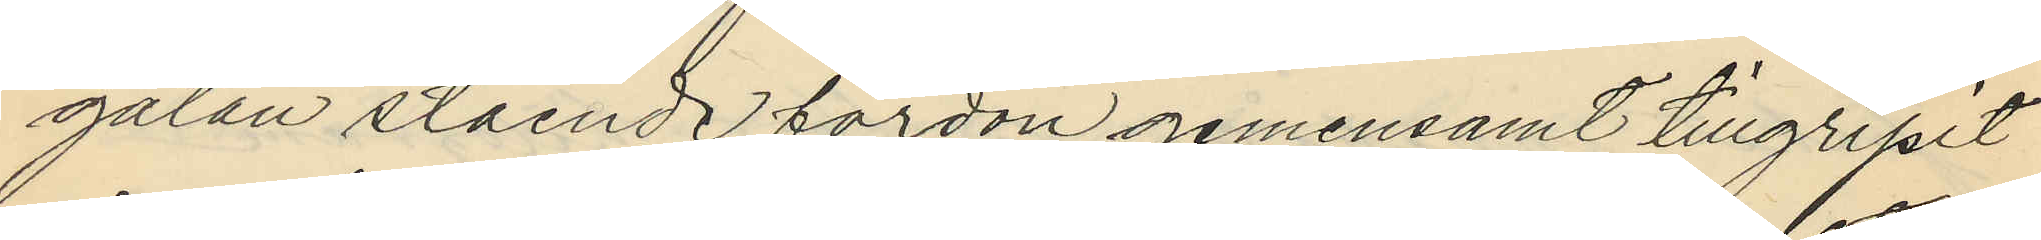gatan stående fordon gemensamt tillgripit
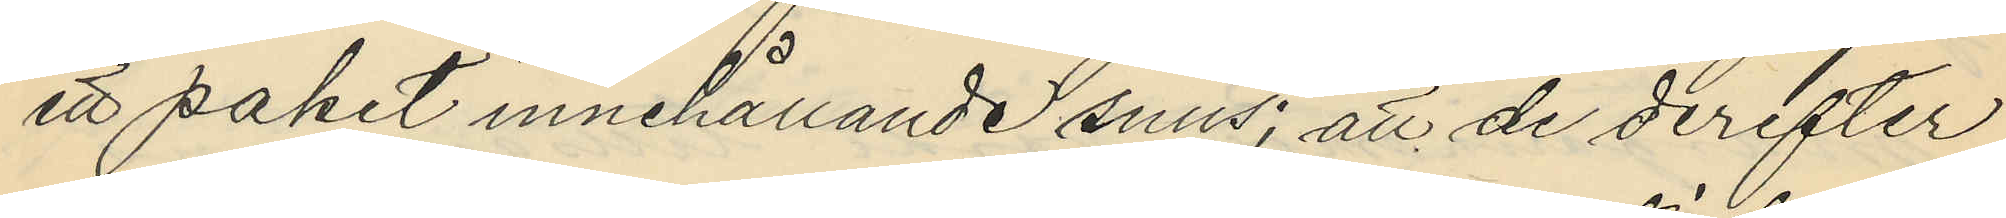ett paket innehållande snus; att de derefter
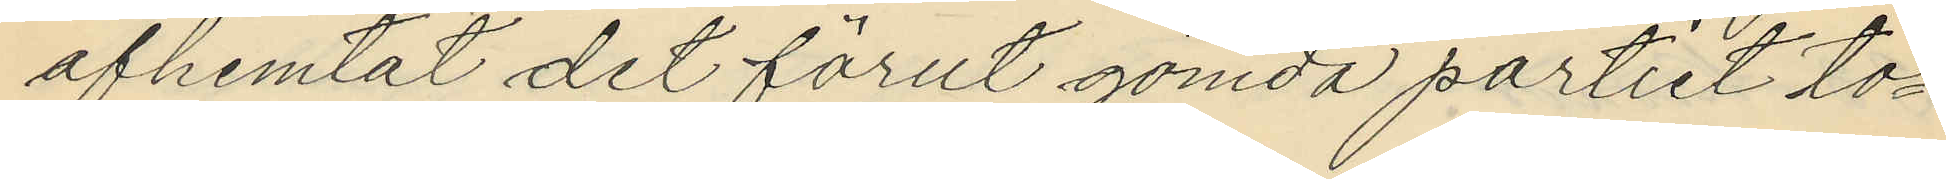afhemtat det förut gömda partiet to¬
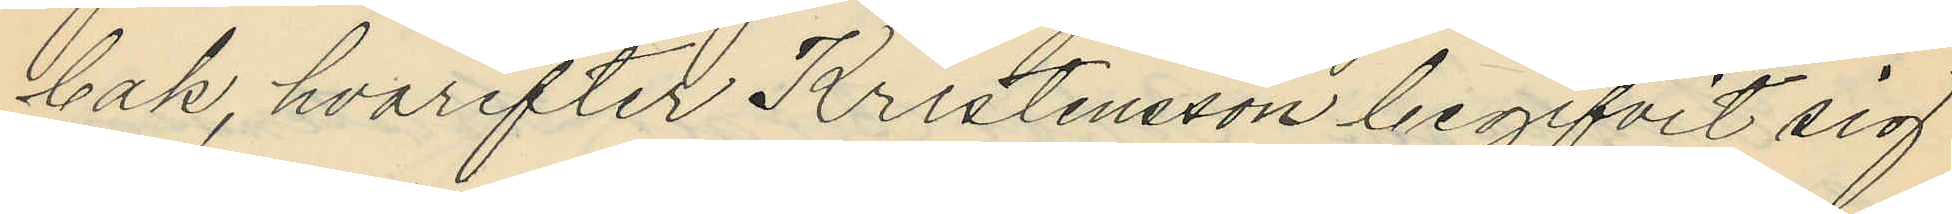bak, hvarefter Kristensson begifvit sig
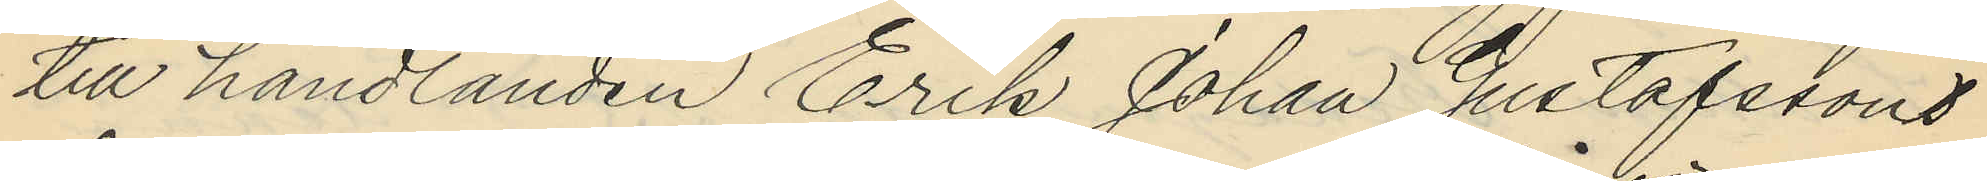till handlanden Erik Johan Gustafssons
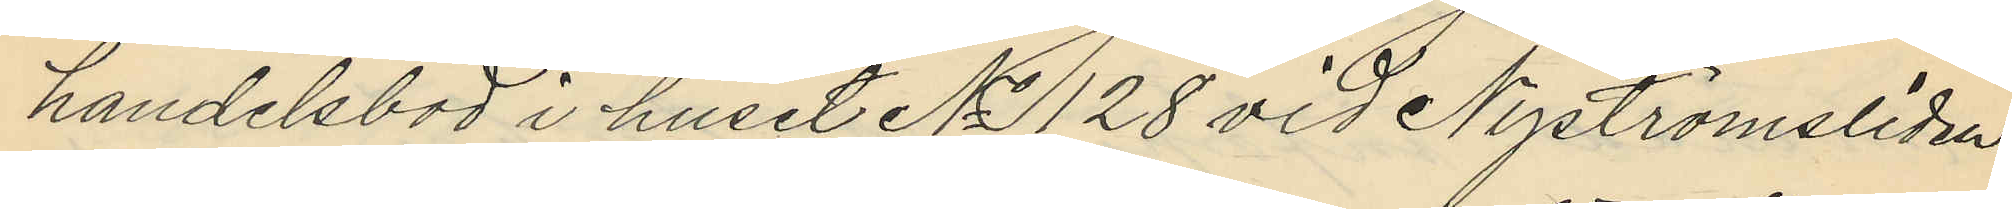handelsbod i huset No 128 vid Nyströmsliden
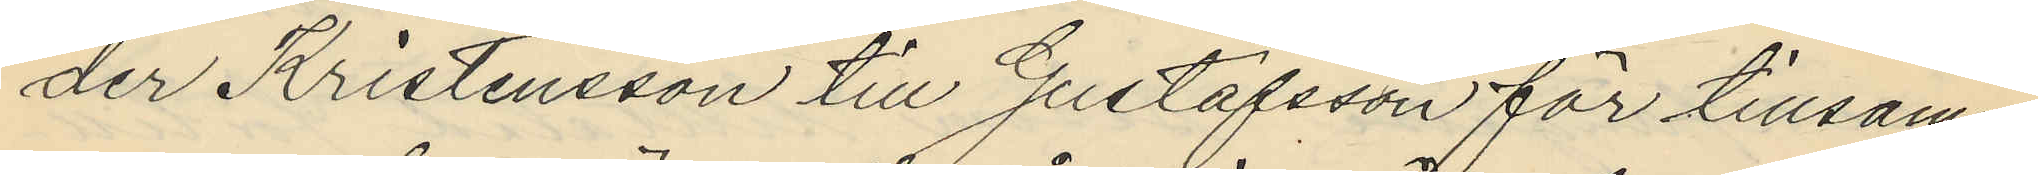der Kristensson till Gustafsson för tillsam¬
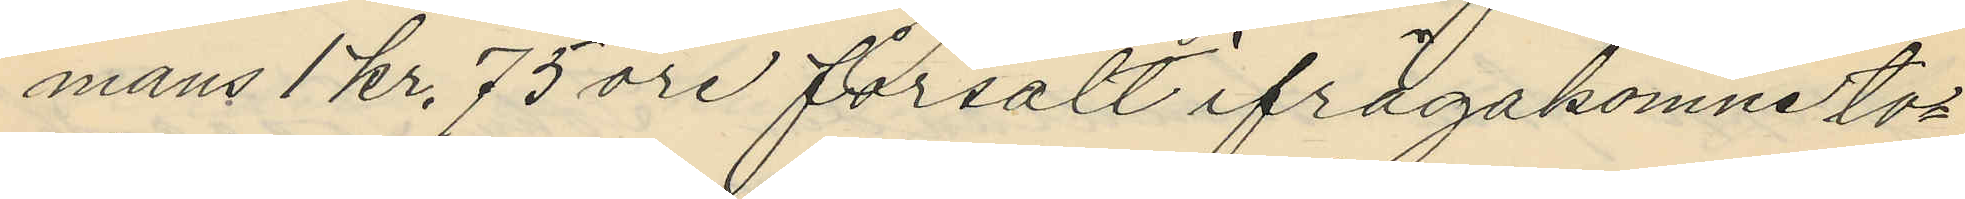mans 1 kr. 75 öre försålt ifrågakomne to¬
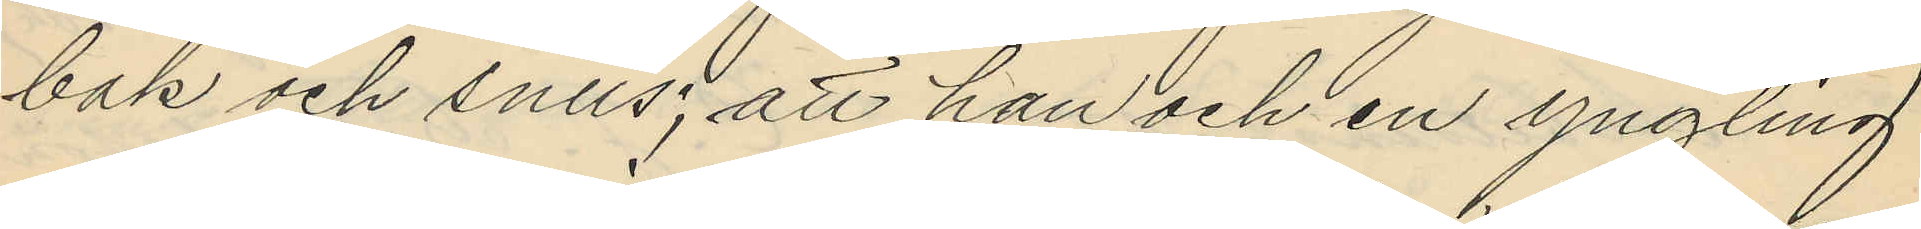bak och snus; att han och en yngling
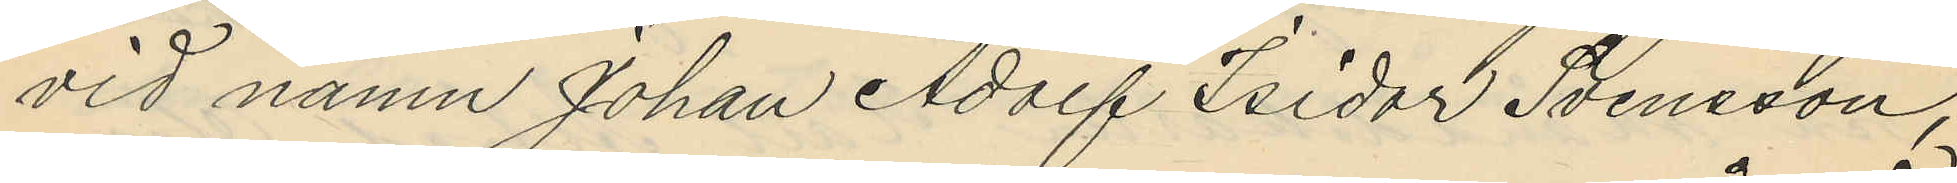vid namn Johan Adolf Isidor Svensson,
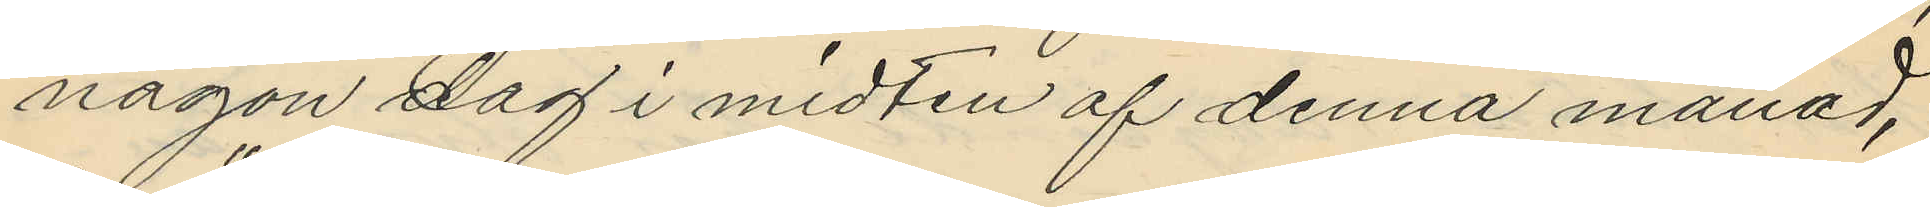någon dag i midten af denna månad,
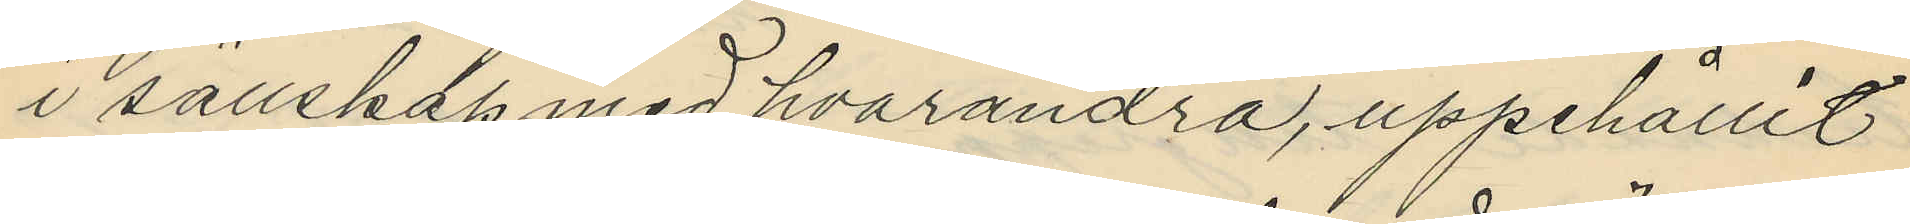i sällskap med hvarandra, uppehållit
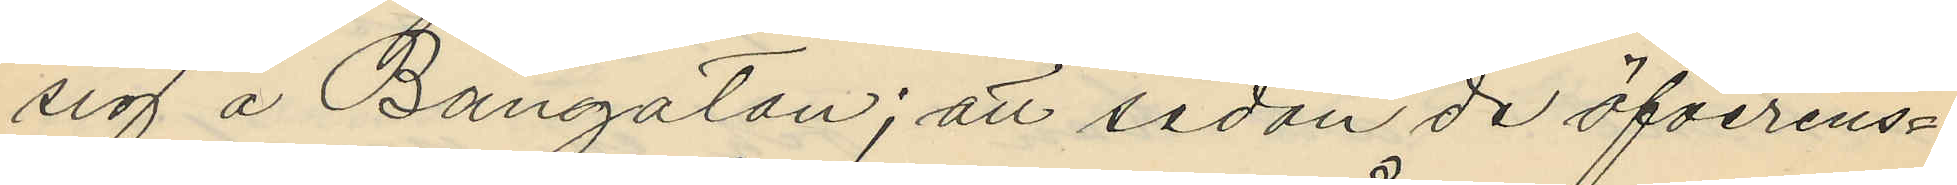sig å Bangatan; att sedan de öfverens¬
